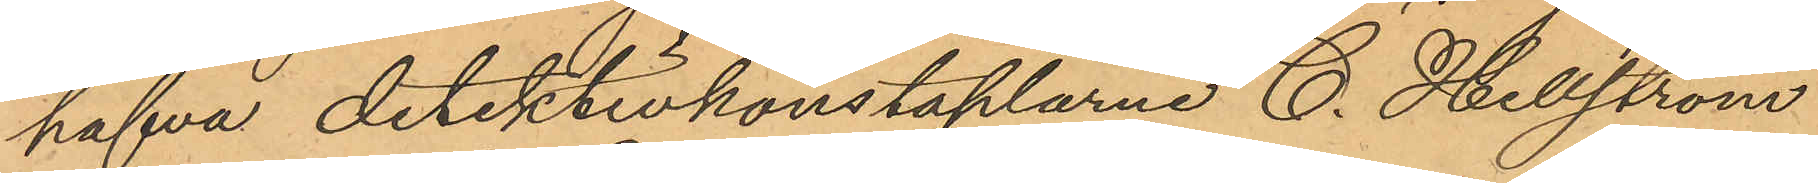hafva detektivkonstaplarne C. Hellström
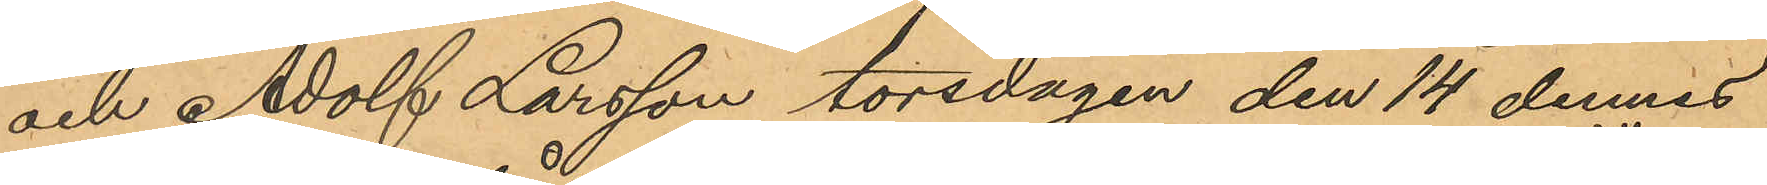och Adolf Larsson torsdagen den 14 dennes
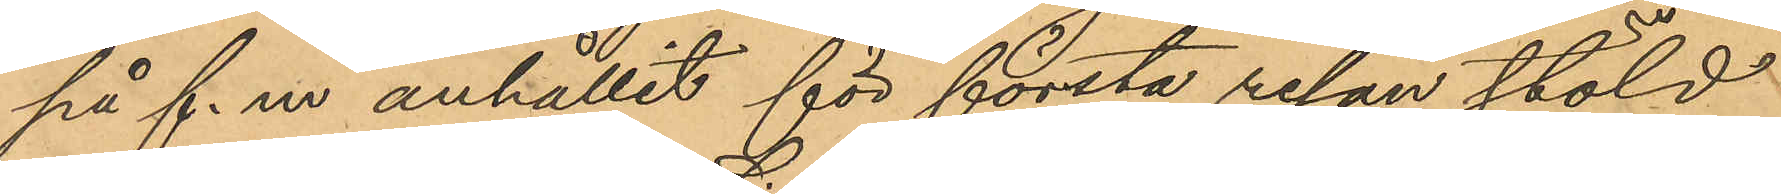på f. m anhållit för första resan stöld
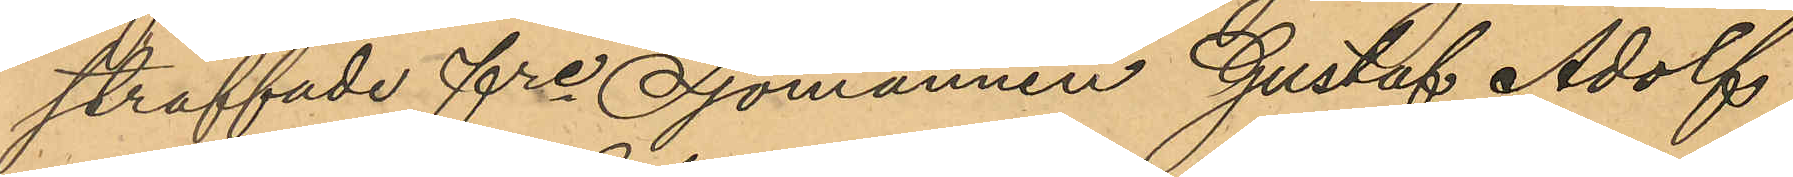straffade fre Sjömannen Gustaf Adolf
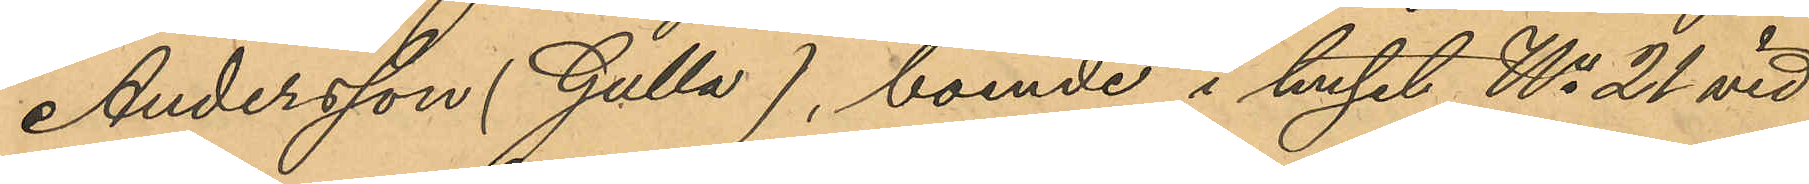Andersson (Gulla), boende i huset No 21 vid
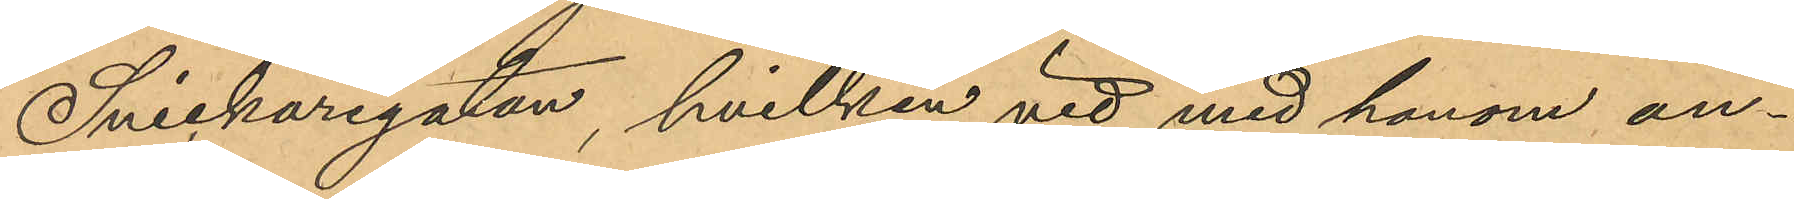Snickaregatan, hvilken vid med honom an¬
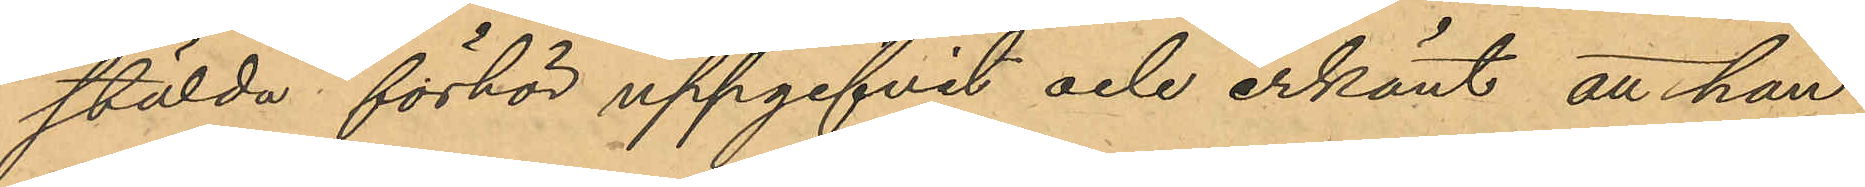stälda förhör uppgifvit och erkänt, att han
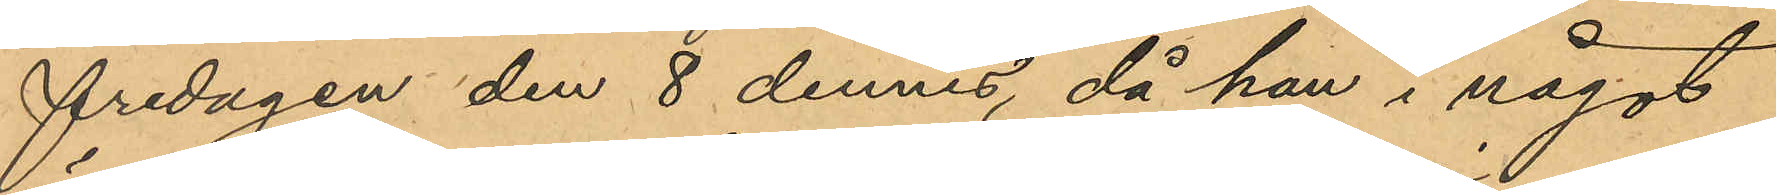fredagen den 8 dennes, då han i något
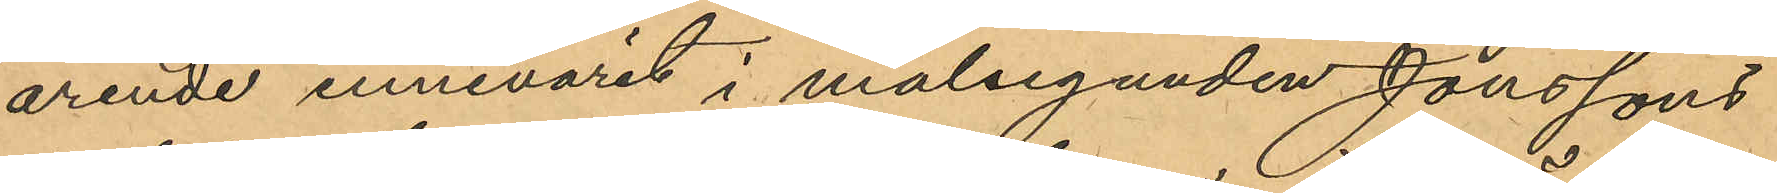ärende innevarit i målseganden Jonssons
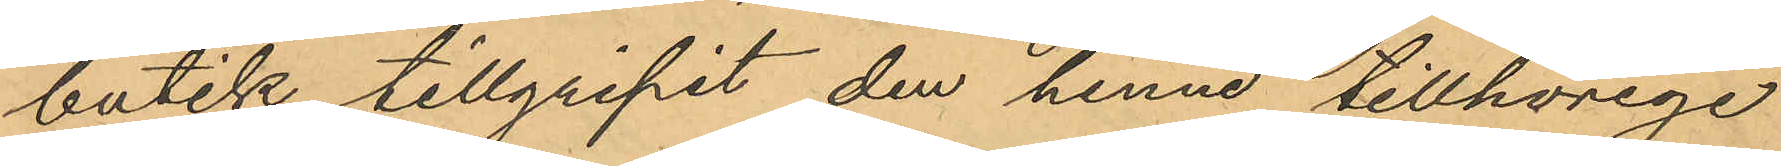butik tillgripit den henne tillhörige
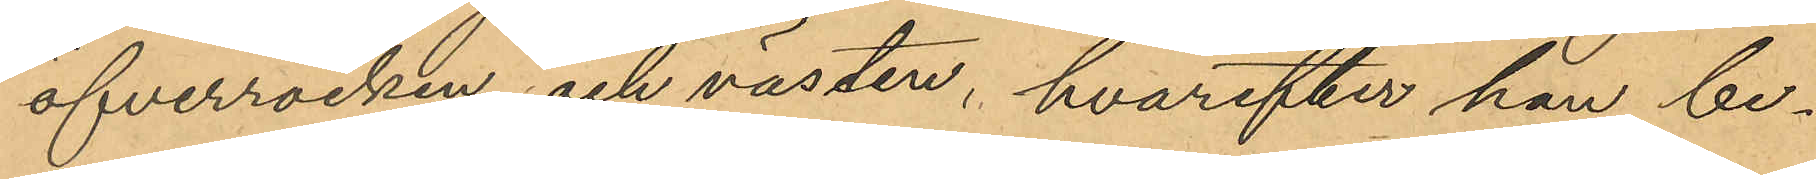öfverrocken och västen, hvarefter han be¬
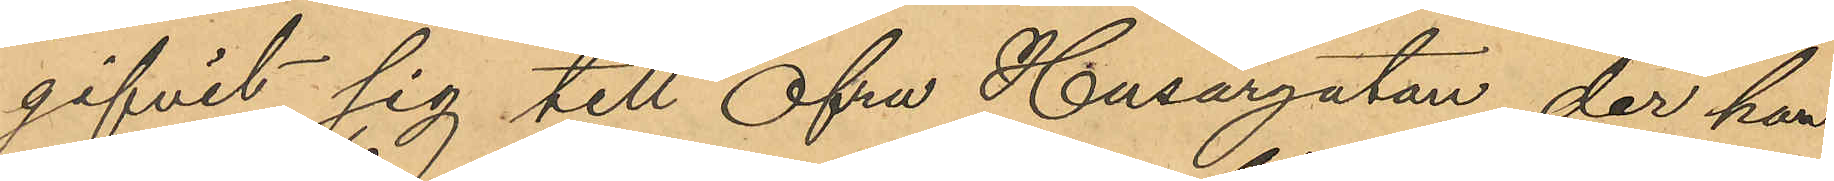gifvit sig till Öfra Husargatan, der han
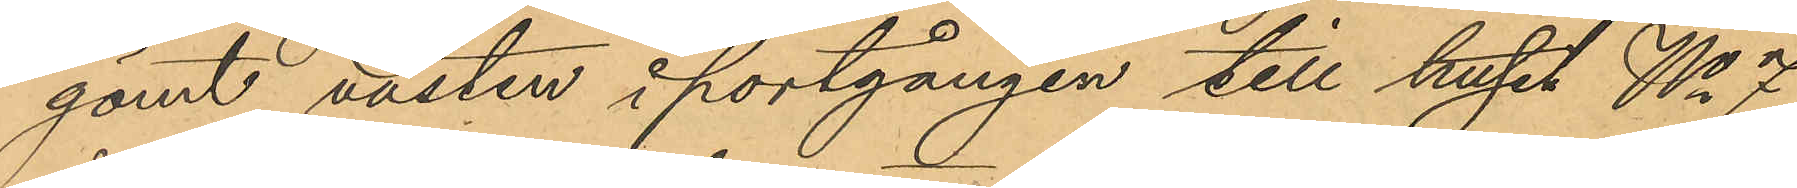gömt västen i portgången till huset No 7
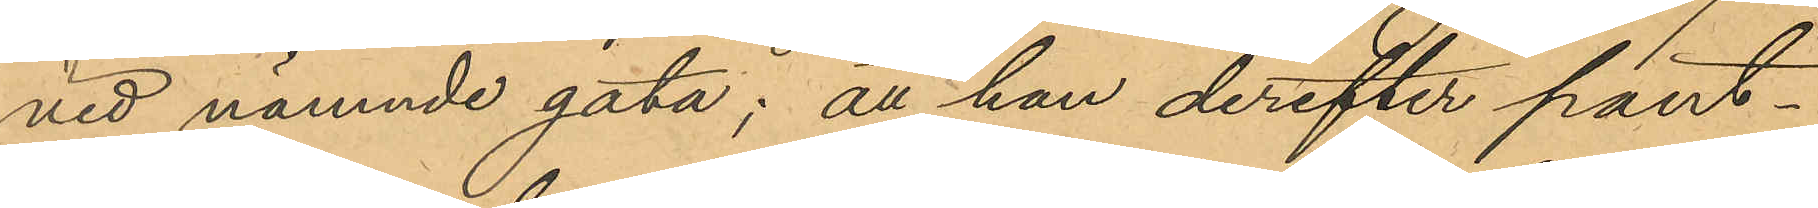vid nämnde gata; att han derefter pant¬
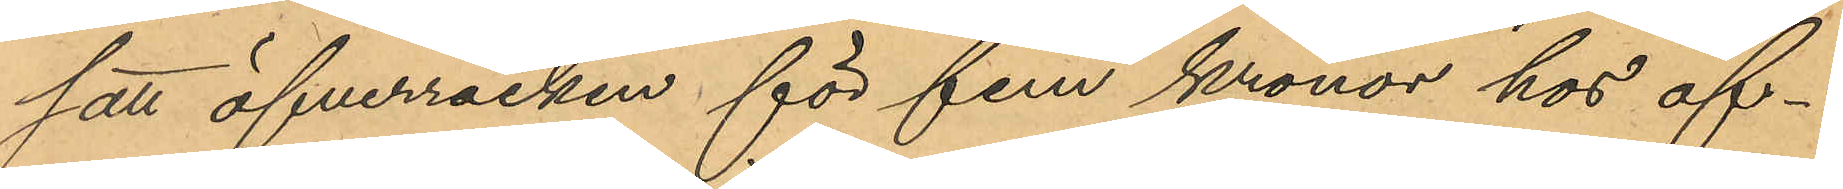satt öfverrocken för fem kronor hos of¬
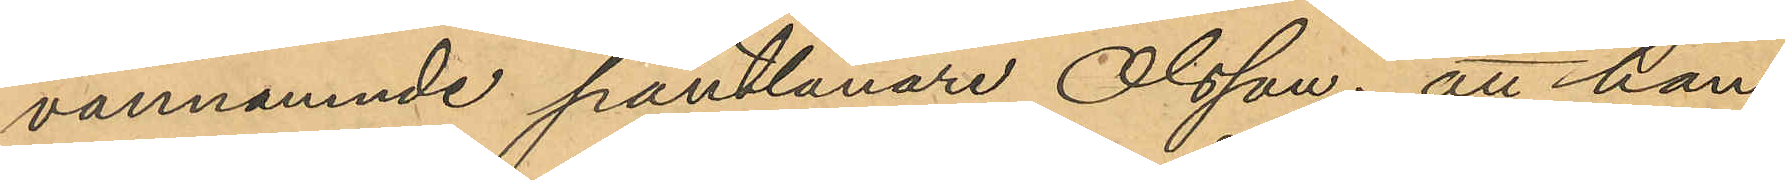vannämnde pantlånare Olsson; att han,
